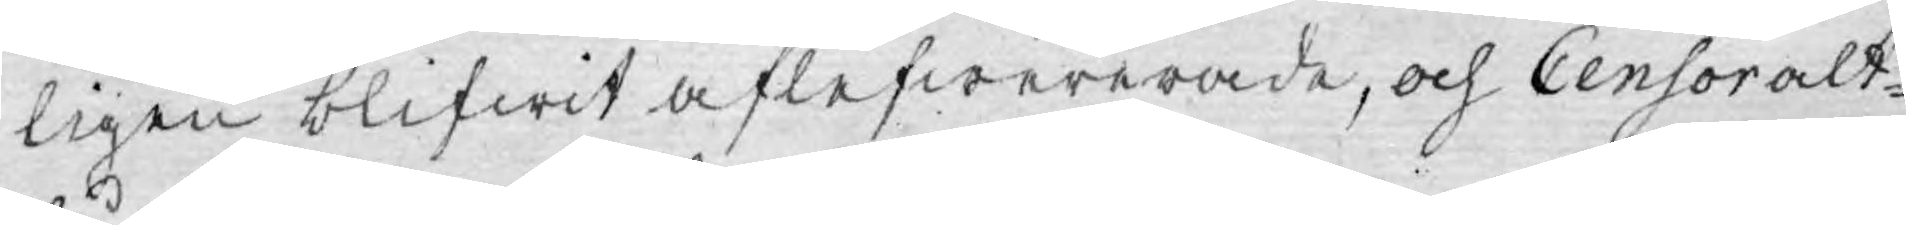ligen blifwit aflefwererade, och Censor alt¬
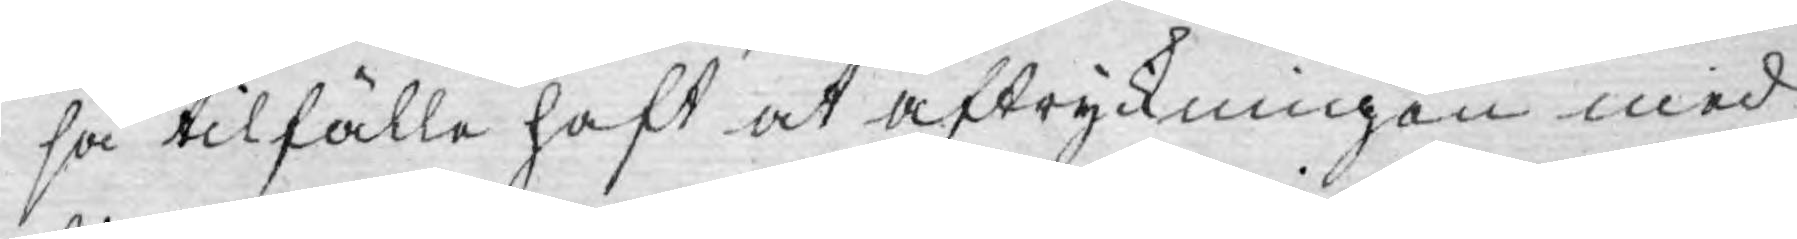så tilfälle haft at aftryckningen med
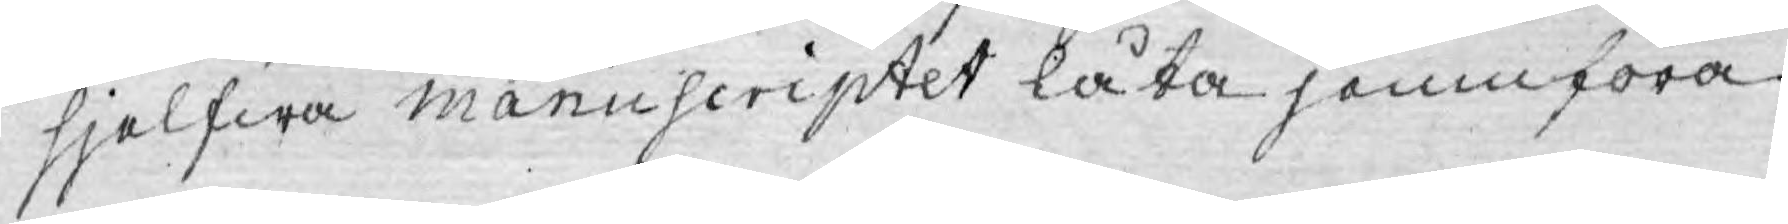sjelfwa manuscriptet låta jemnföra.
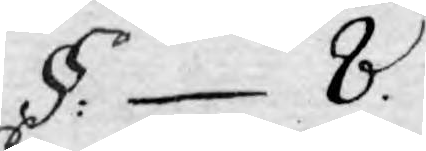§: 8.
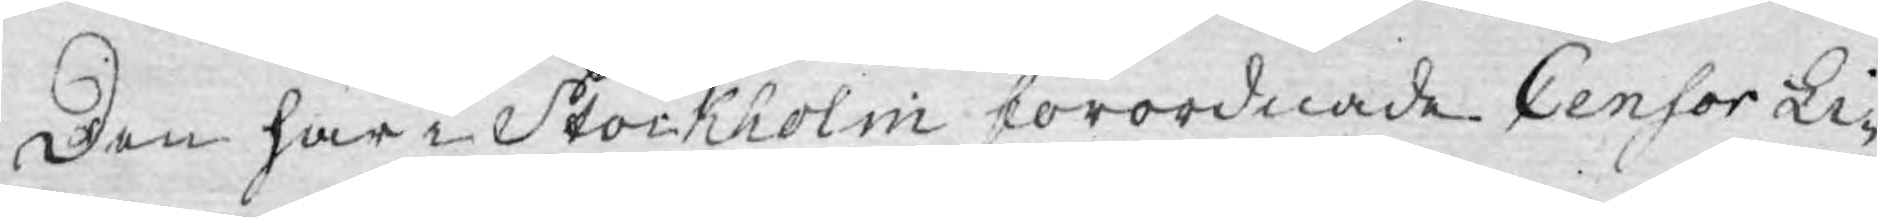Den här i Stockholm förordnade Censor Li¬
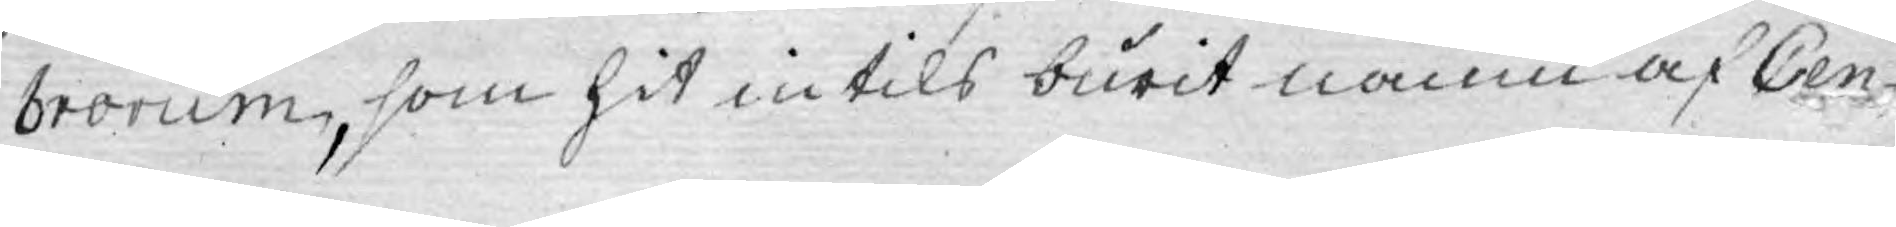brorum, som hit intils burit namn af Cen¬
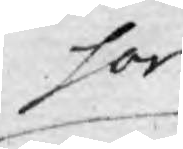sor
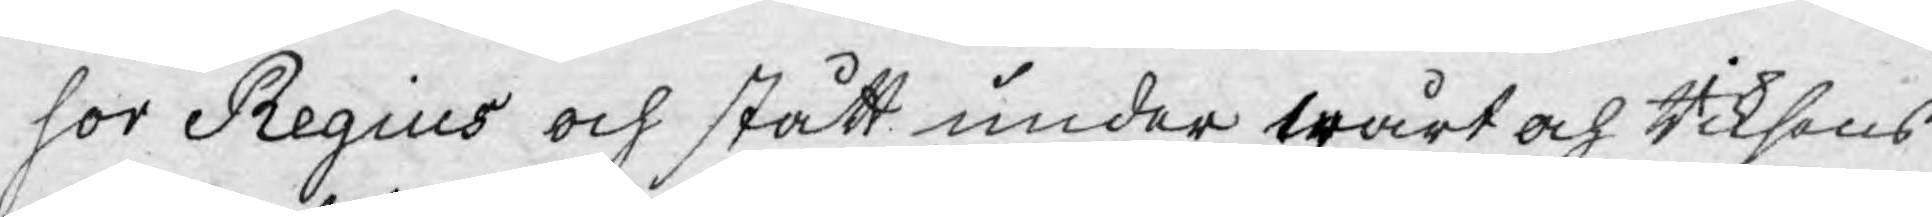sor Regius och stått under wårt och Riksens
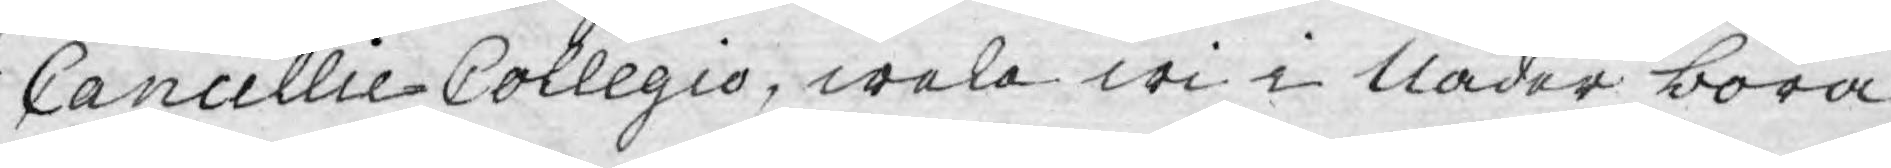Cancellie-Collegio, wela wi i Nåder böra
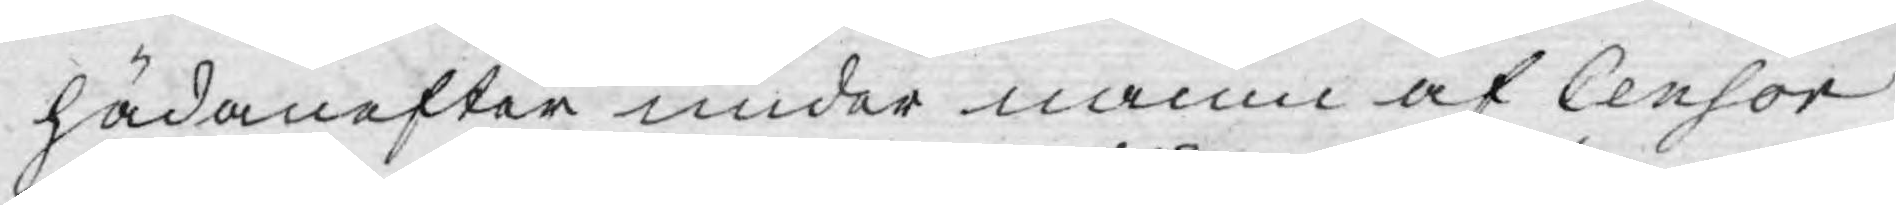hädanefter under namn af Censor
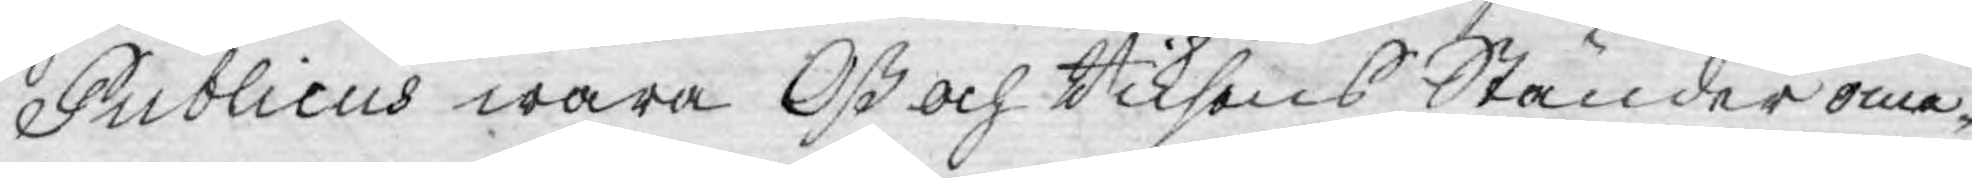Publicus wara Oß och Riksens Ständer ome¬
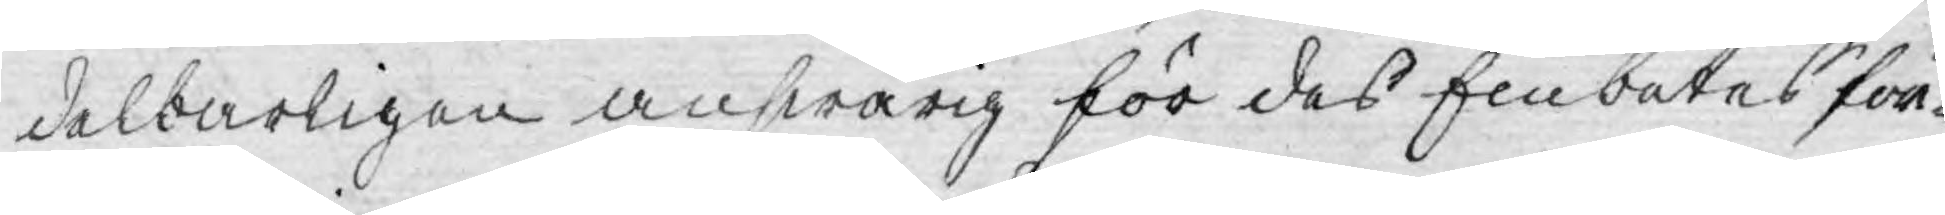delbarligen answarig för des Embetes för¬
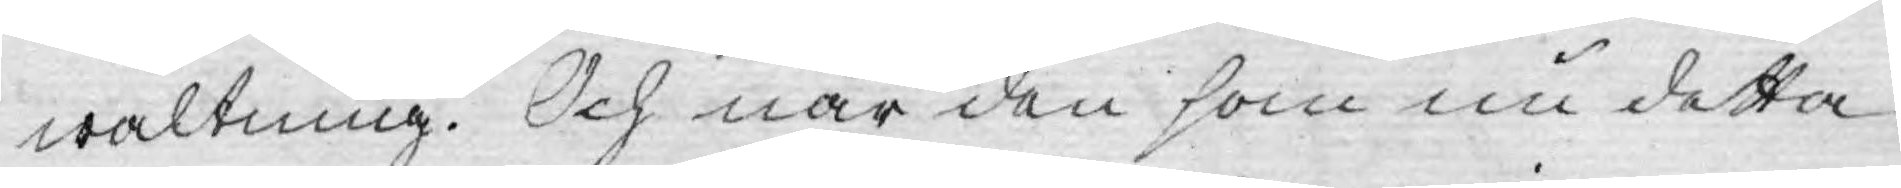waltning. Och när den som nu detta
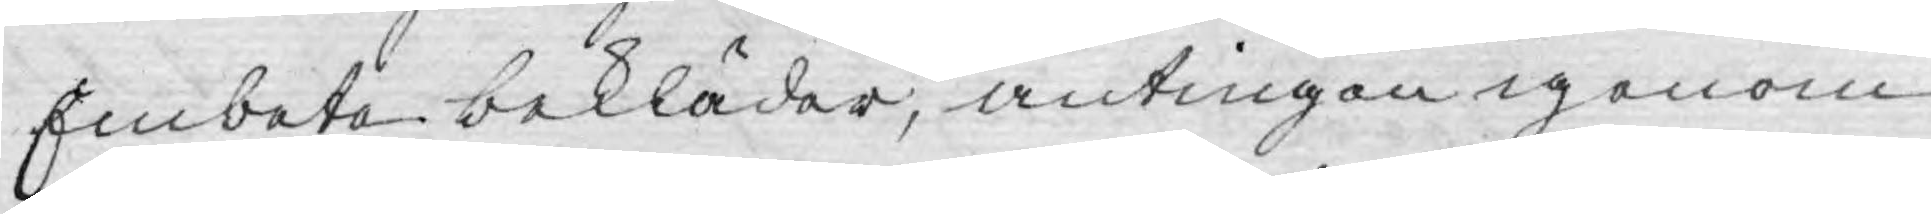Embeta bekläder, antingen igenom
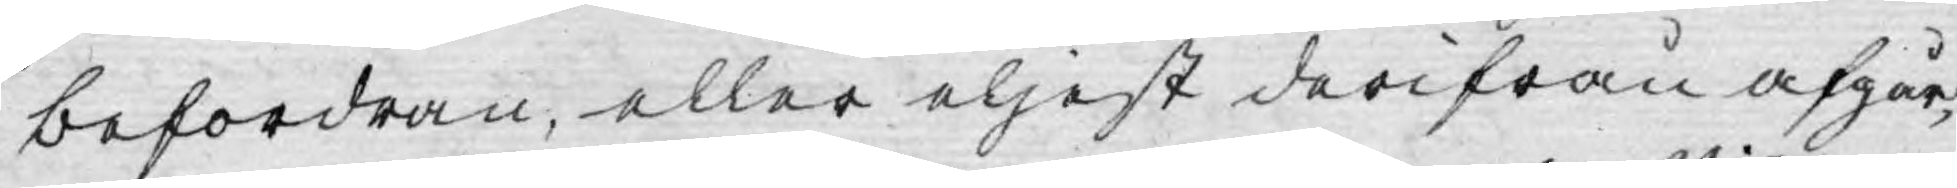befordran, eller eljest derifrån afgår,
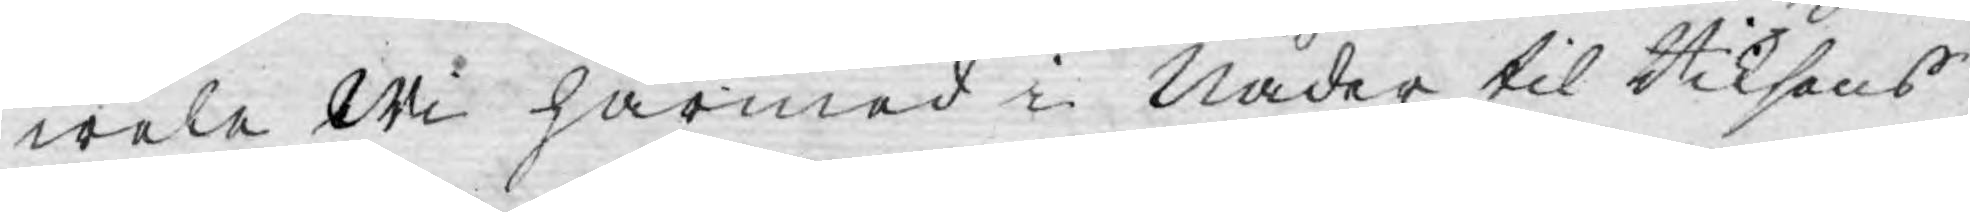wele Wi härmed i Nåder til Riksens
